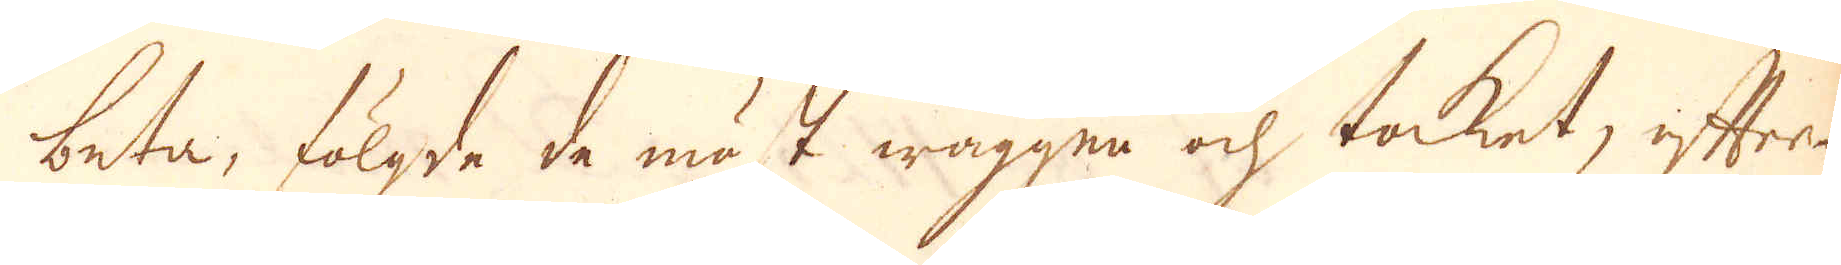beta, fölgda de mäst wäggen och taket, efter-
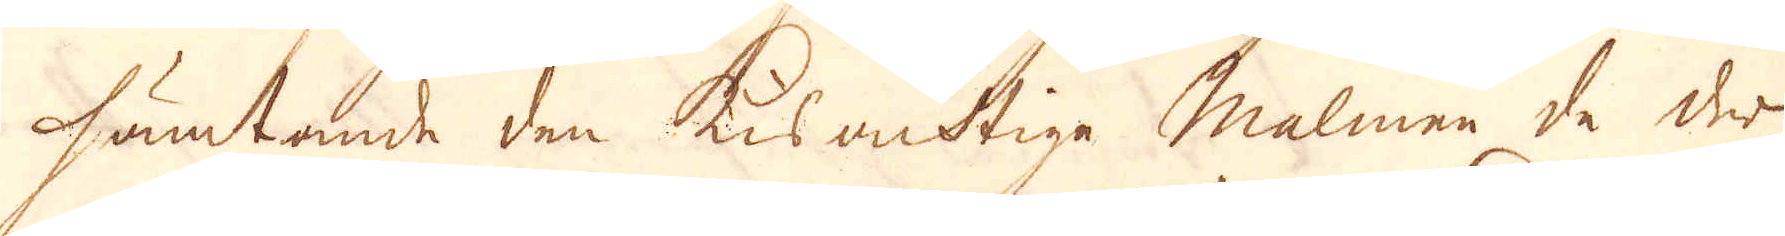hämtande den kisacktige malmen de der
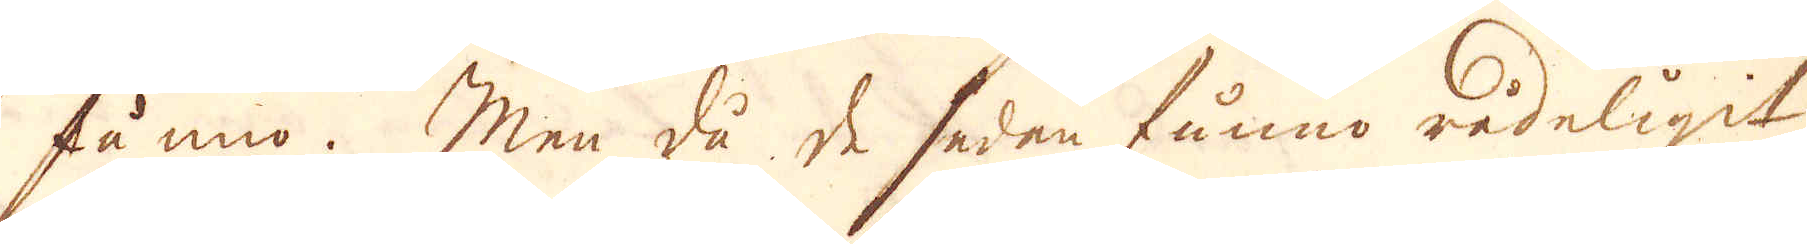funno. Men då de sedan funno rådeligit
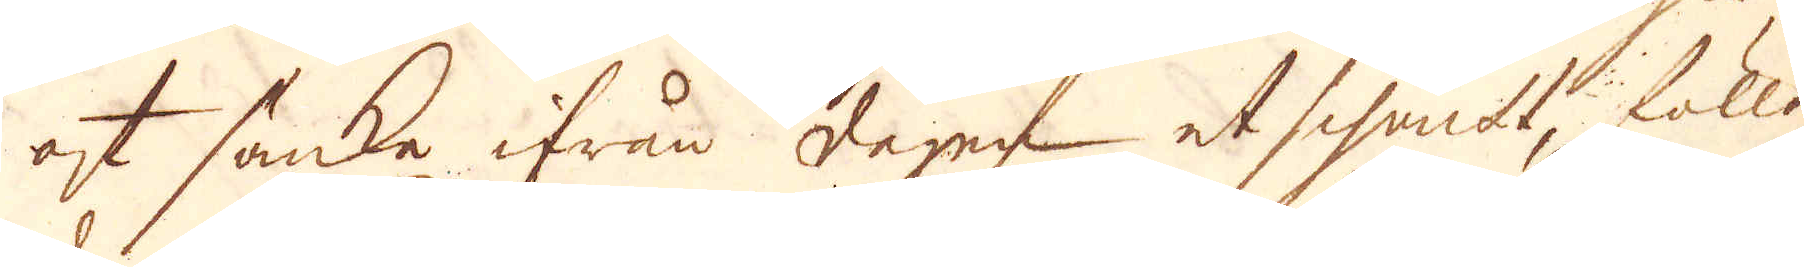af sänka ifrån dagen et schakt, föllo
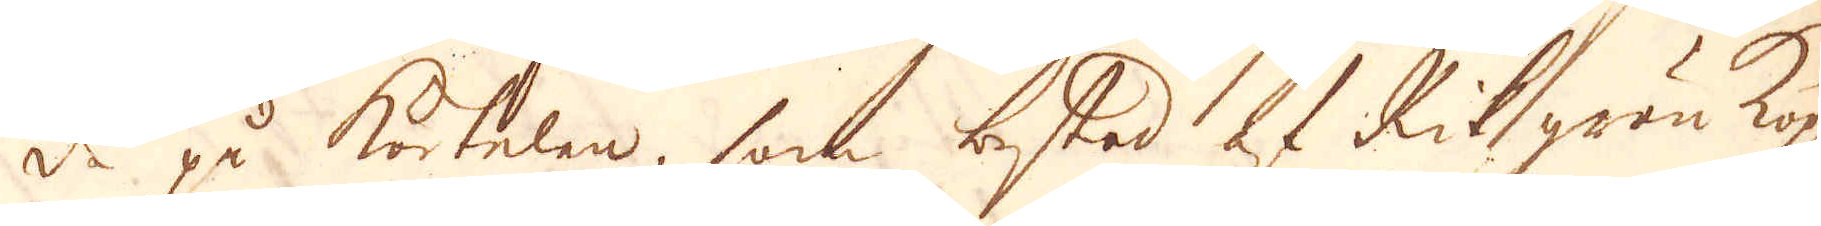de på körtelen, som bestod af Rik grön kop-
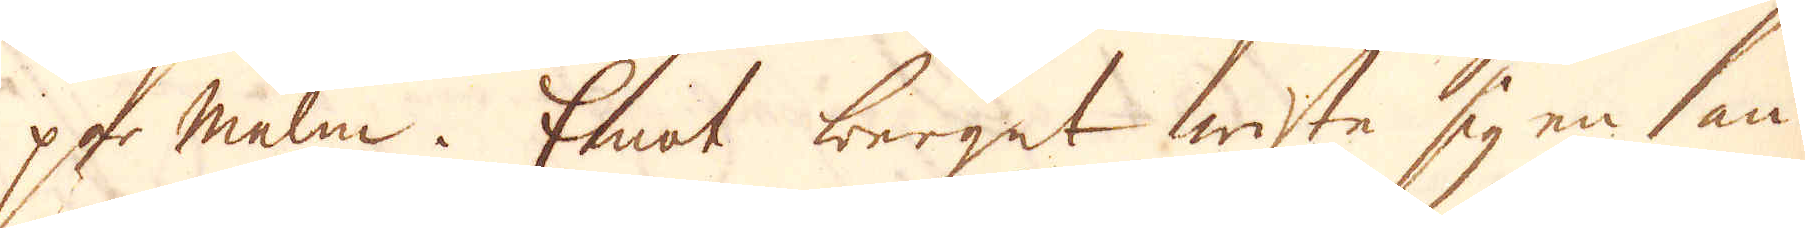par malm. Emot berget wiste sig en an-
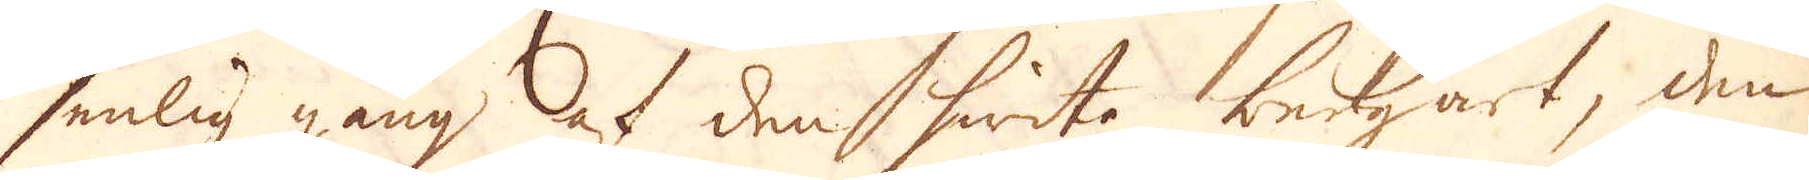senlig gång af den hwita bergart, den
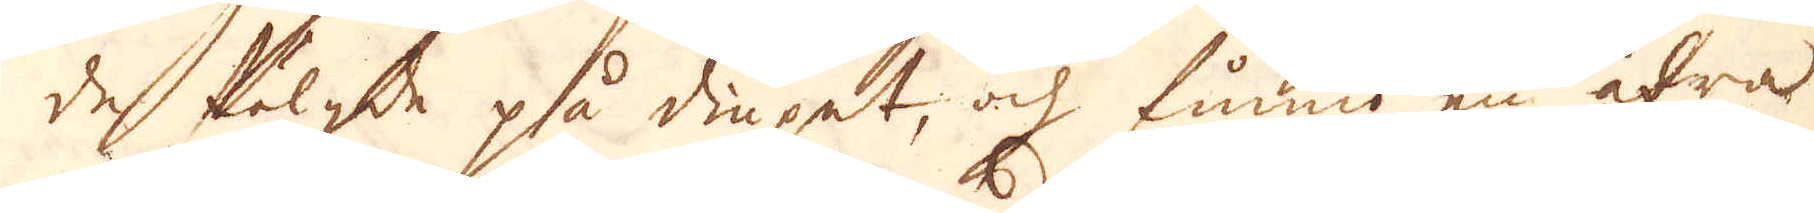de fölgde på diupet, och finno en ådra
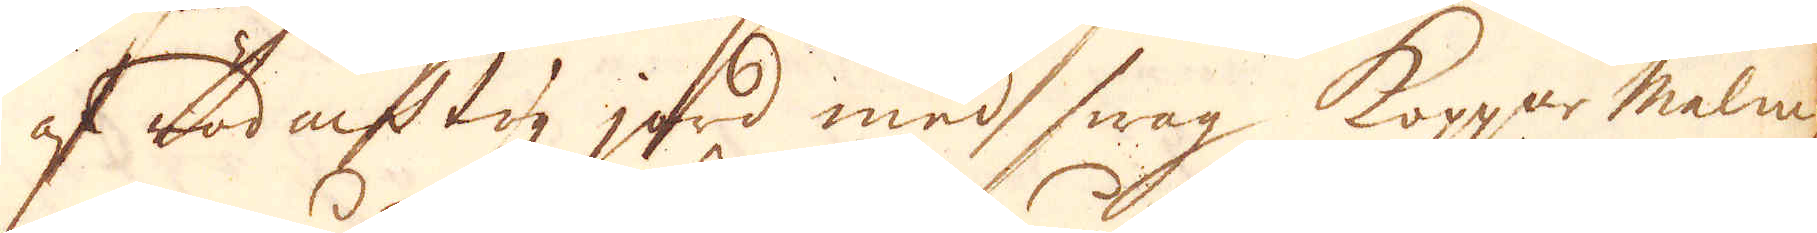af röd aktig jord med swag Koppar malm
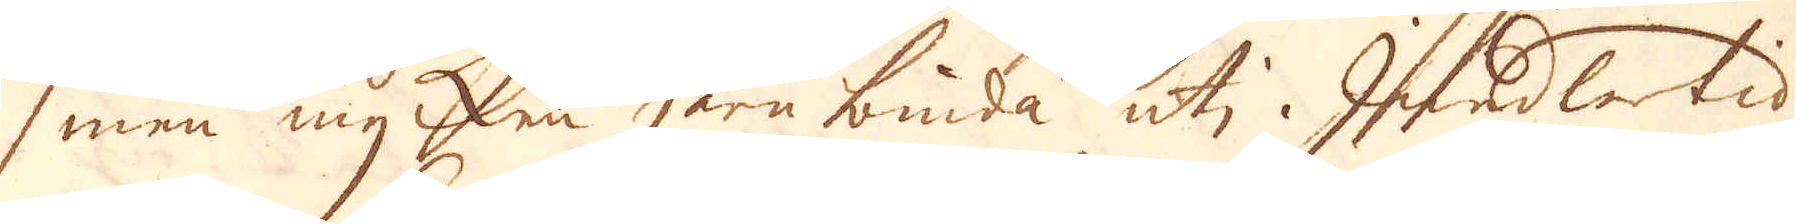men mycken jern binda uti. Imedlertid
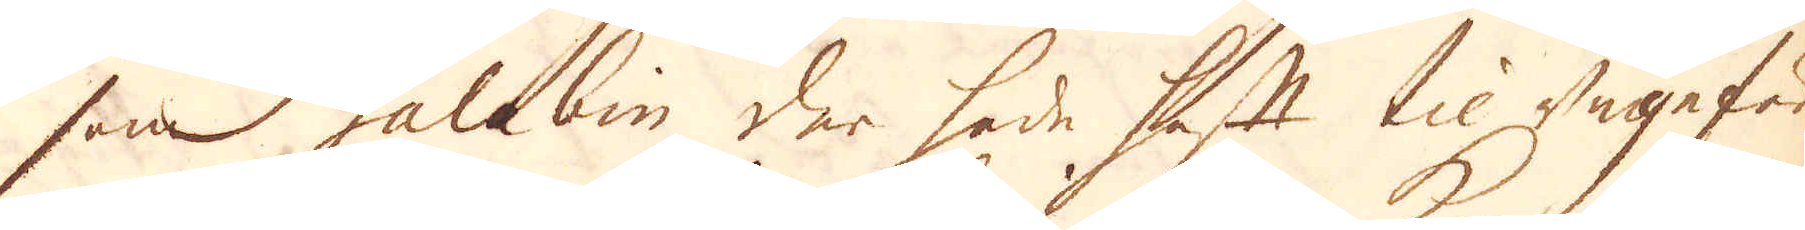som Galabin der hade haft til ungefär
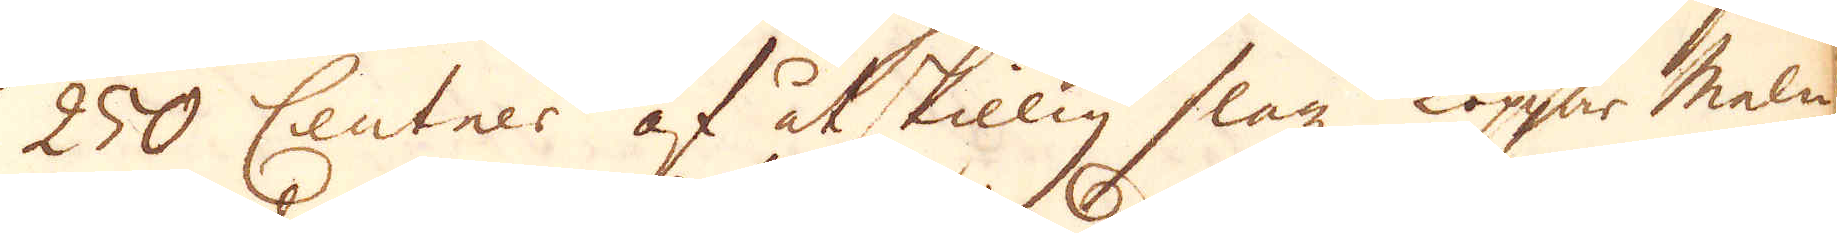250 Centner af åtskillig slagz koppar malm
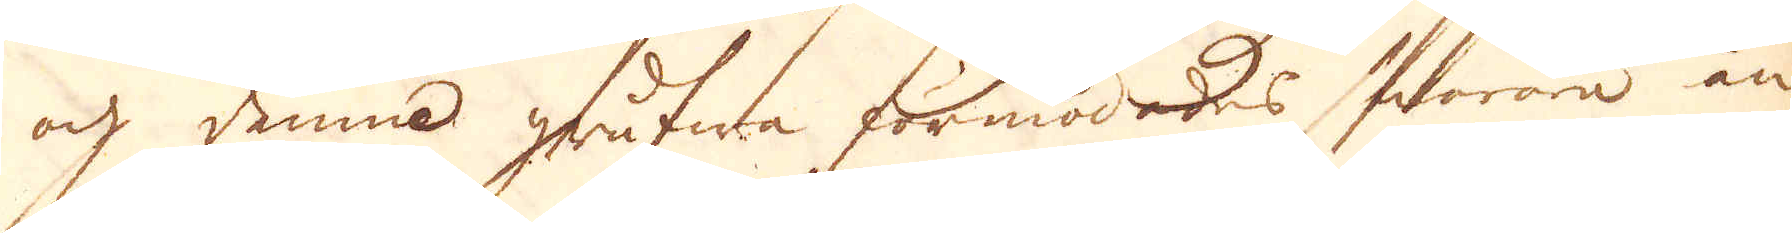och denna grufwa förmodades snarare än
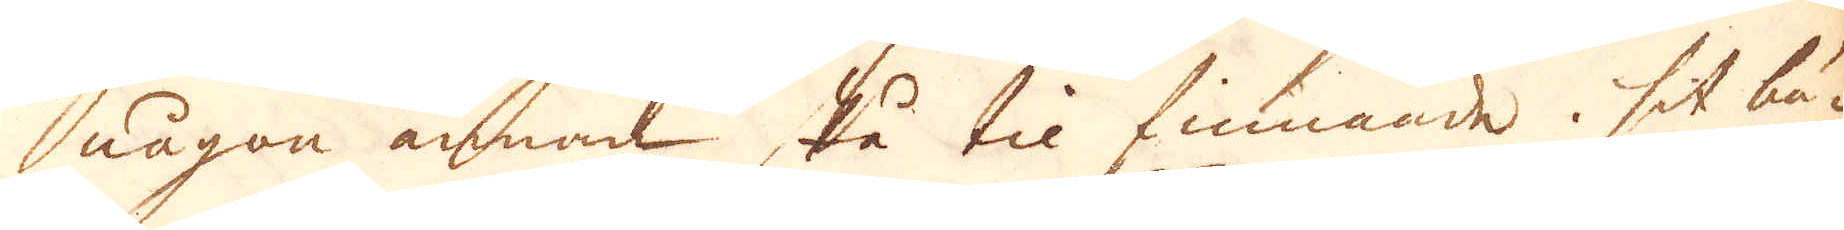någon annan stå til finnande sit bä-
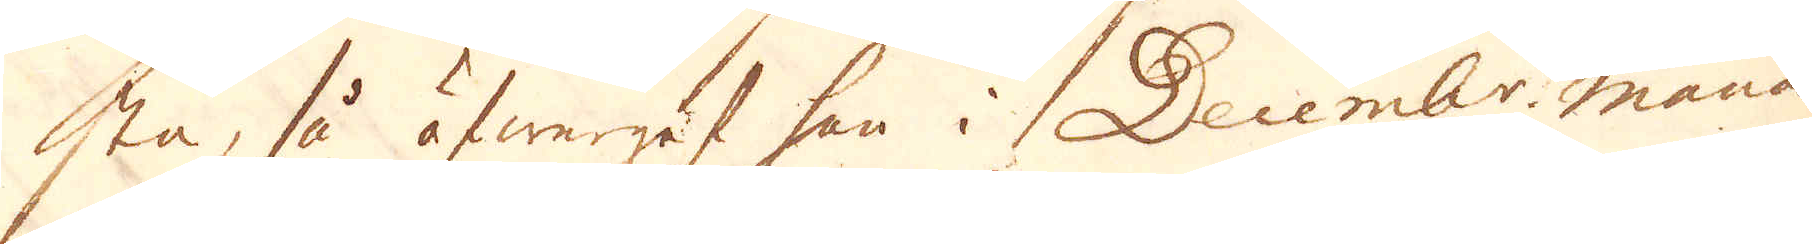sta, så öfwergaf han i Decemb:r månad
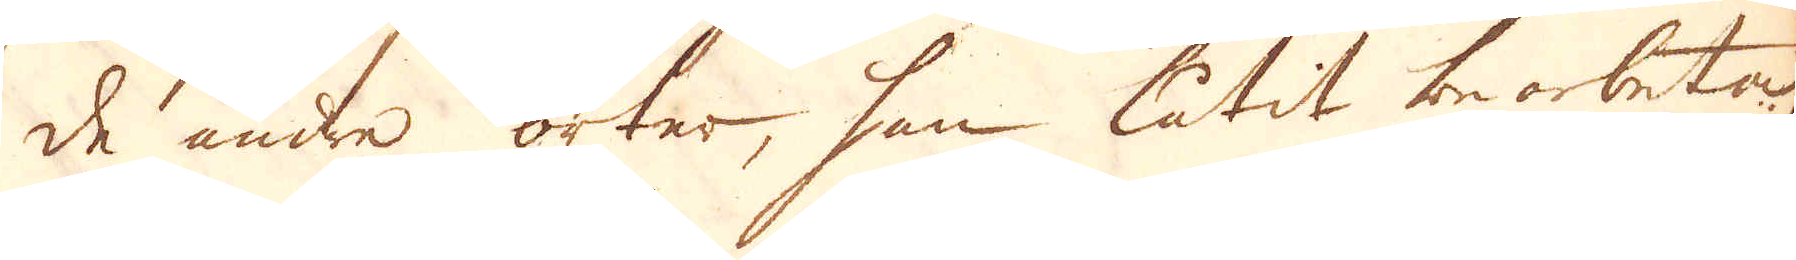de andre orter, han låtit bearbeta
